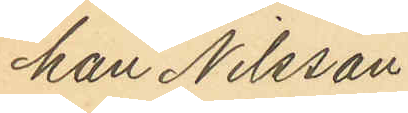han Nilsson
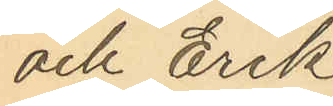och Erik
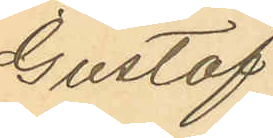Gustaf
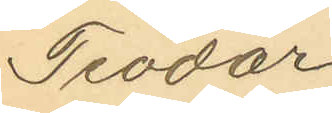Teodor
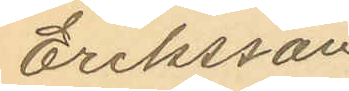Eriksson
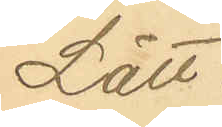Lätt.
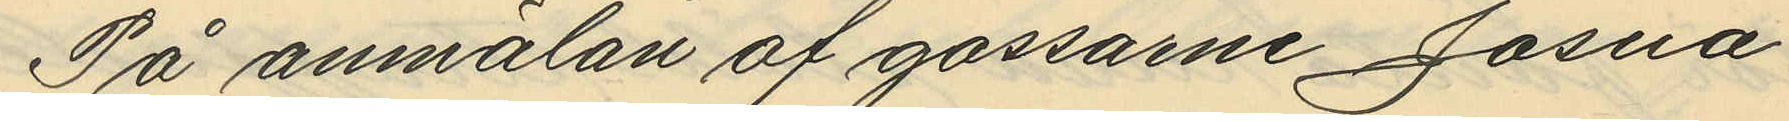På anmälan af gossarne Josua
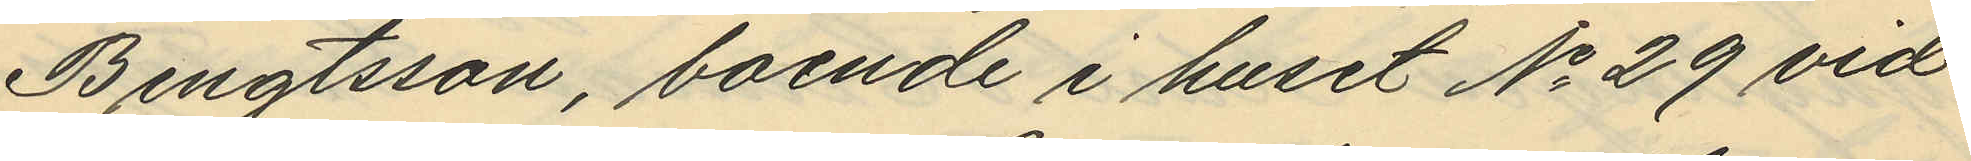Bengtsson, boende i huset No 29 vid
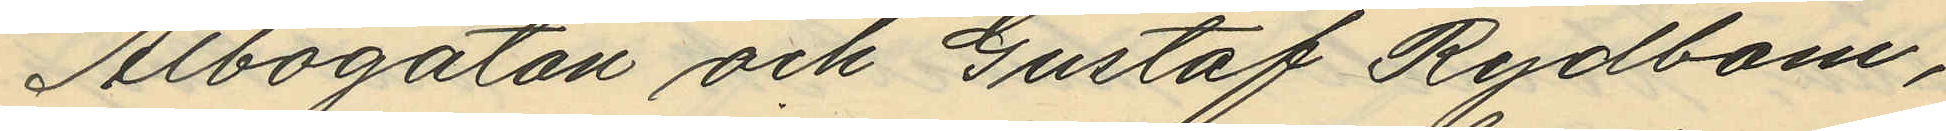Albogatan och Gustaf Rydbom,
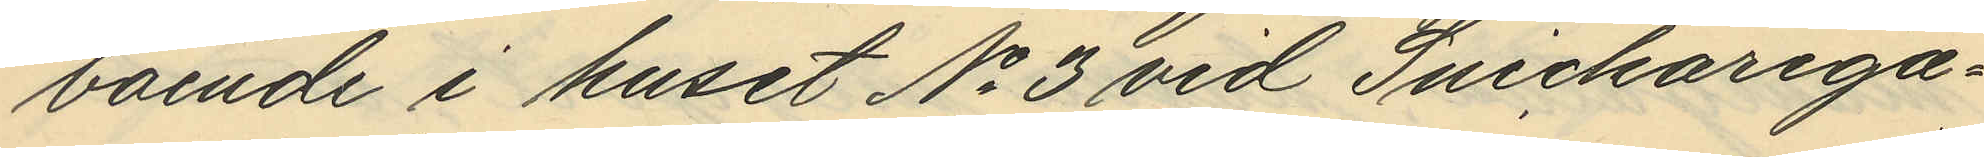boende i huset No 3 vid Snickarega¬
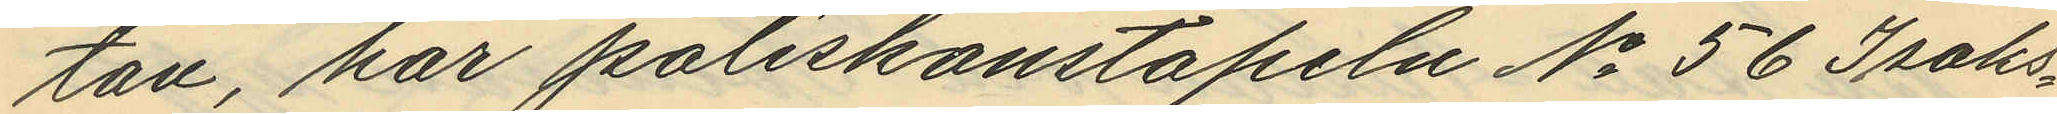tan, har poliskonstapeln No 56 Isaks¬
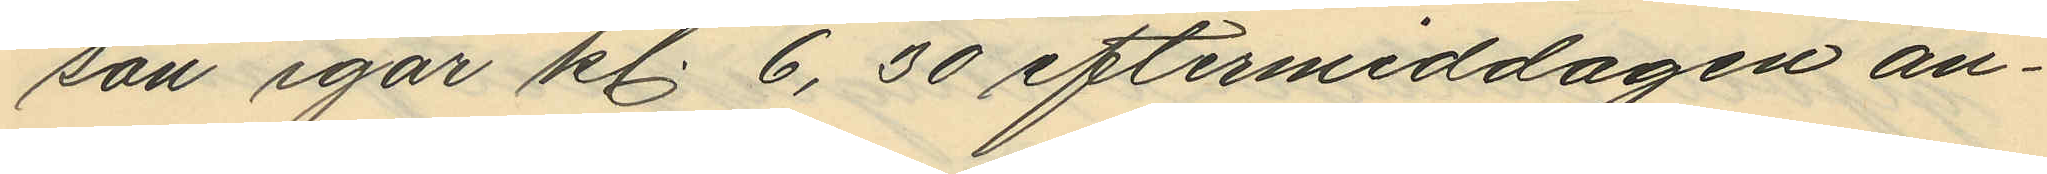son igår kl. 6,30 eftermiddagen an¬
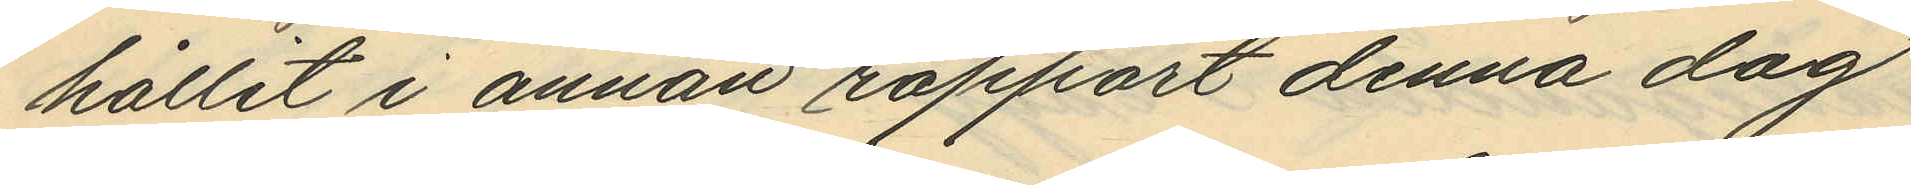hållit i annan rapport denna dag
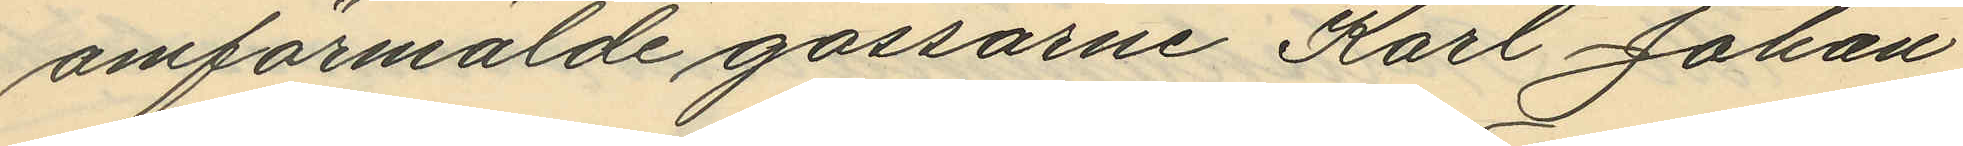omförmälde gossarne Karl Johan
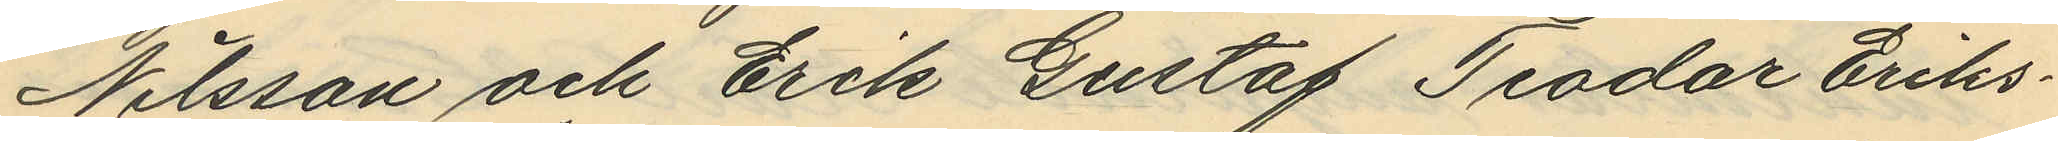Nilsson och Erik Gustaf Teodar Eriks¬
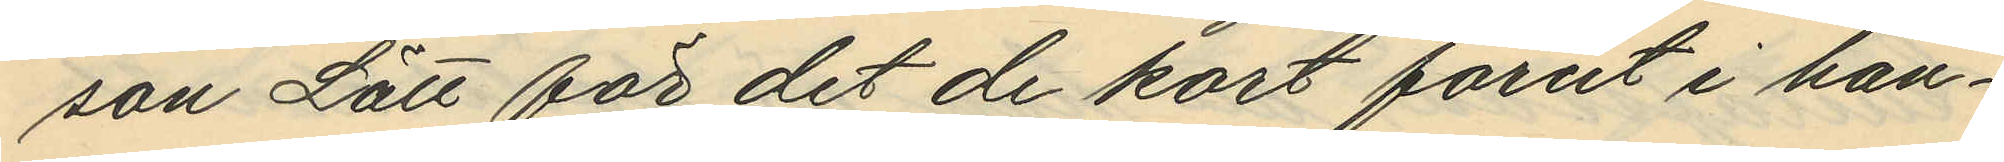son Lätt för det de kort förut i han¬
